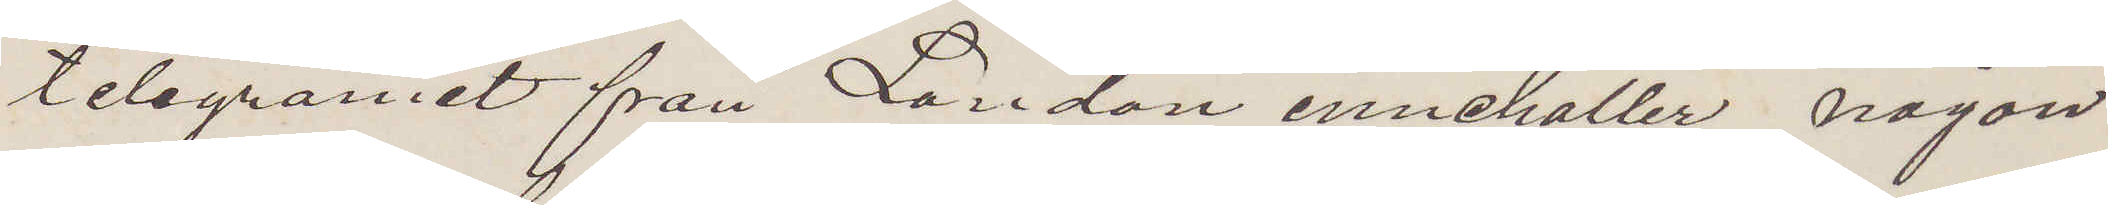telegramet från London innehåller någon
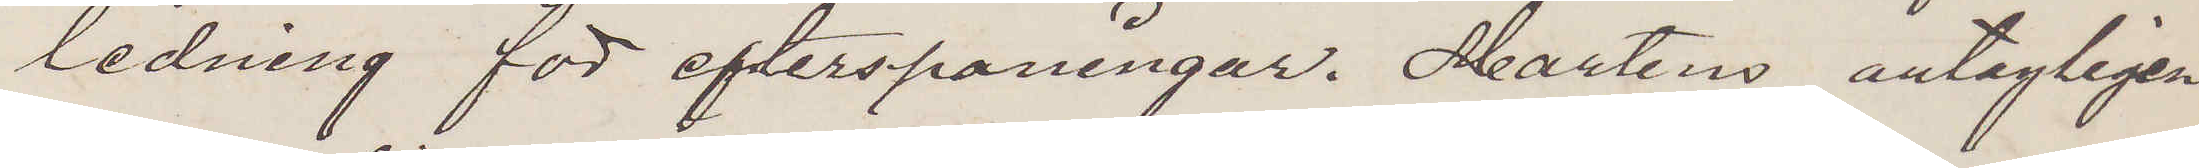ledning för efterspaningar. Martens antagligen
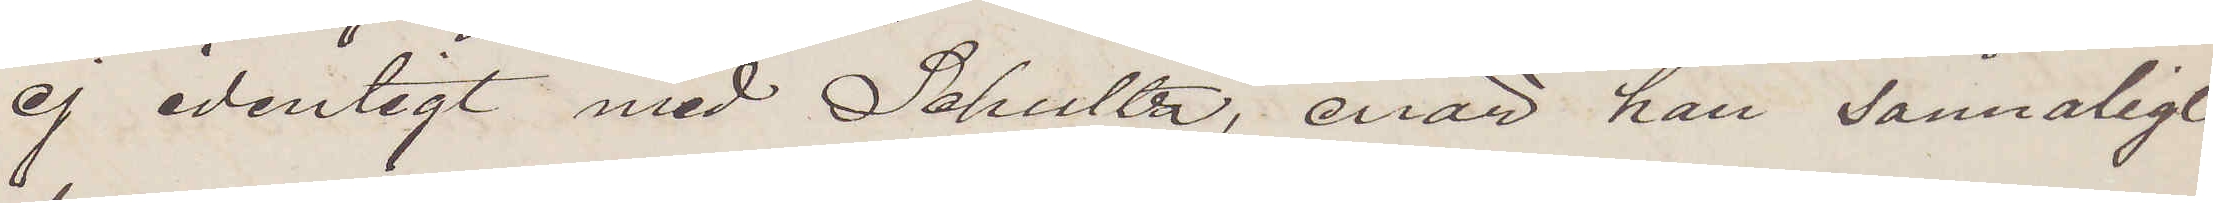ej identigt med Schultz, enär han sannoligt
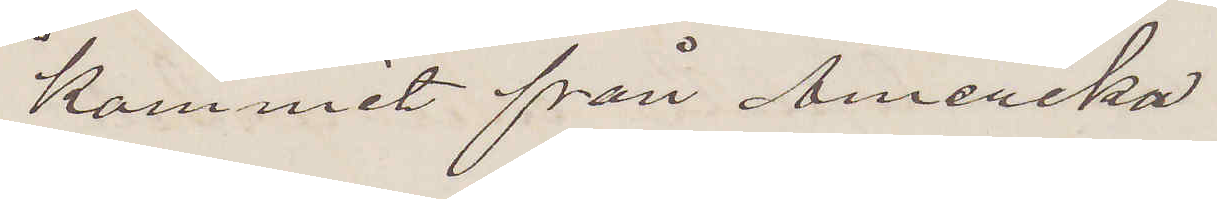kommit från Amerika
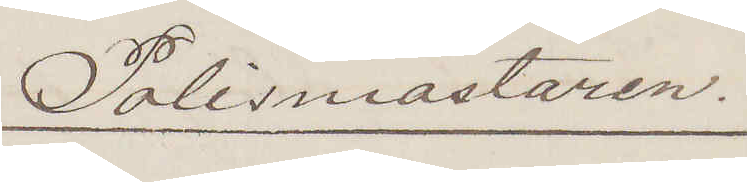Polismästaren.
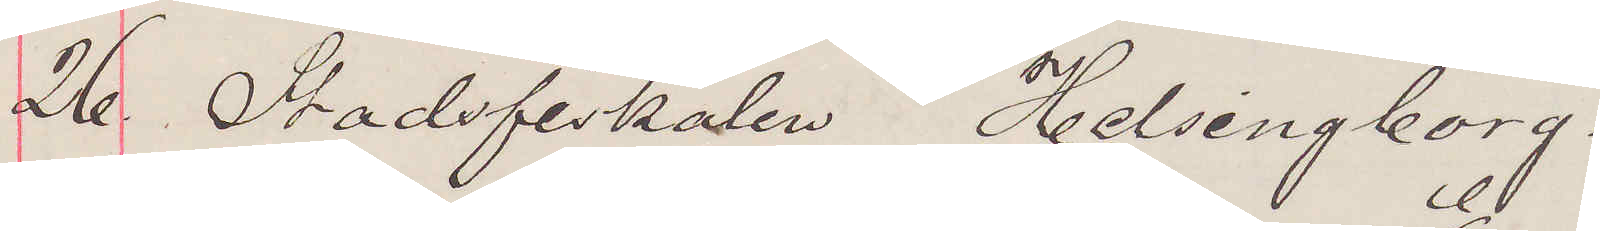26 Stadsfiskalen Helsingborg.
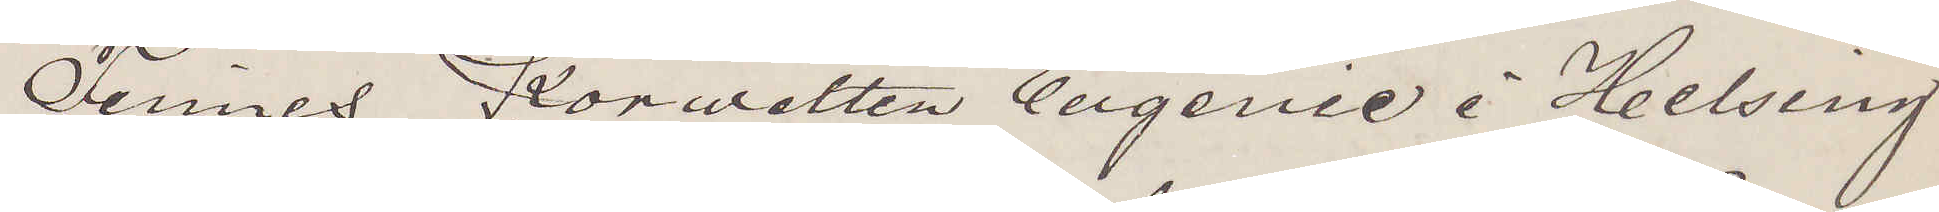Finnes Korvetten Eugenie i Helsing¬
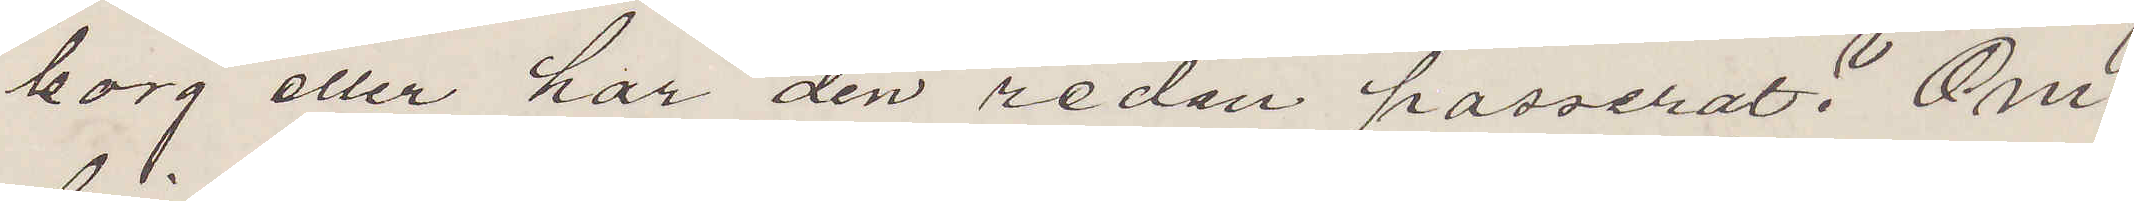borg eller har den redan passerat? Om
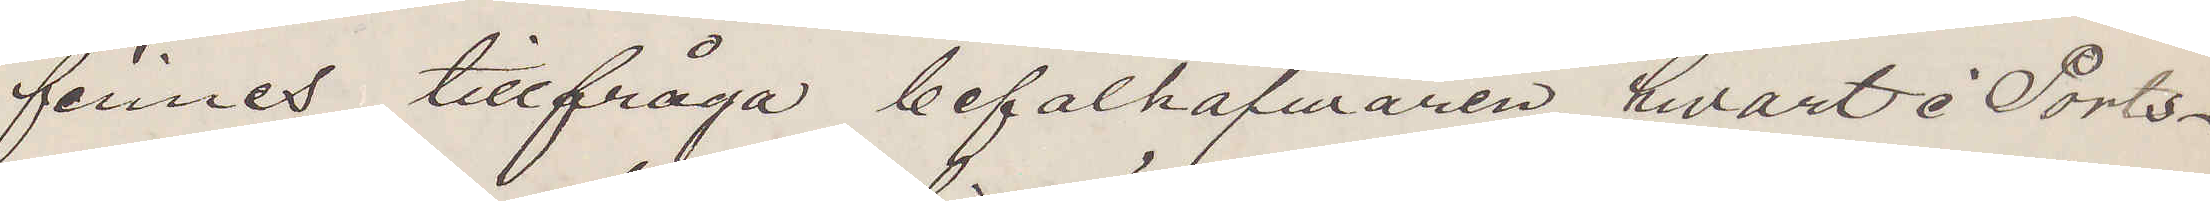finnes tillfråga befälhafwaren, hvart i Ports¬
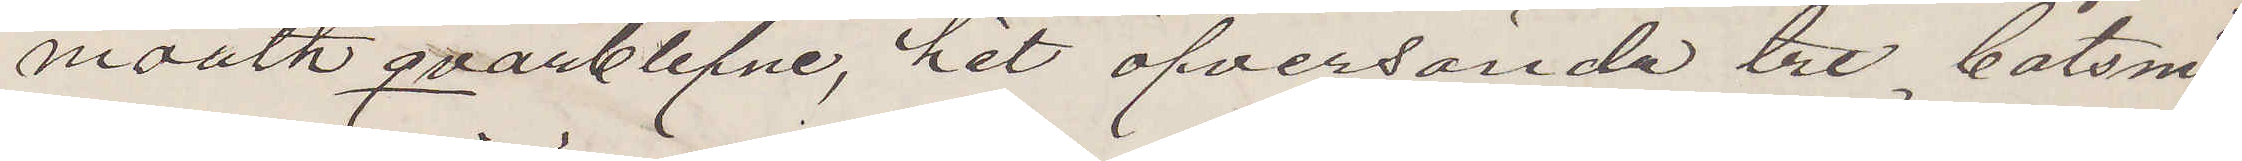mouth qvarblifne, hit öfversända tre båtsmän
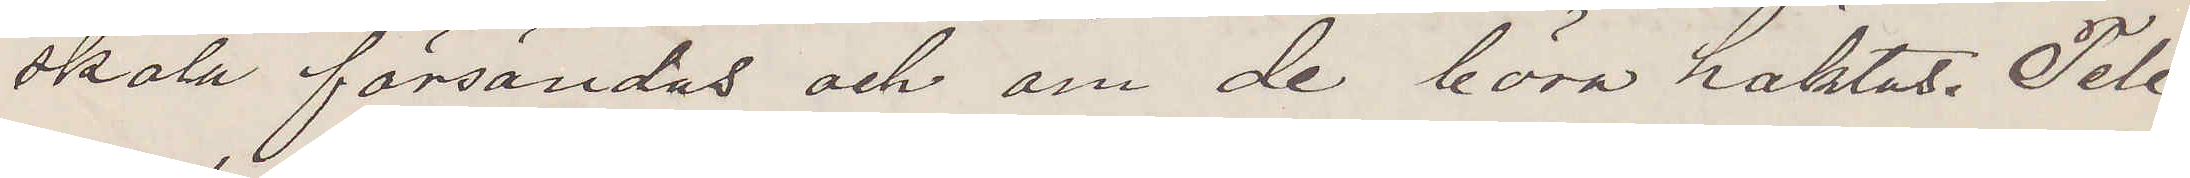skola försändas och om de böra häktas. Tele¬
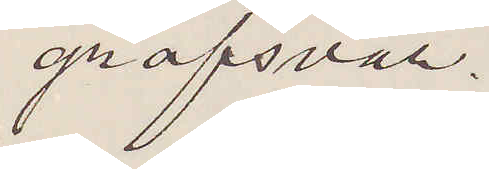grafsvar.
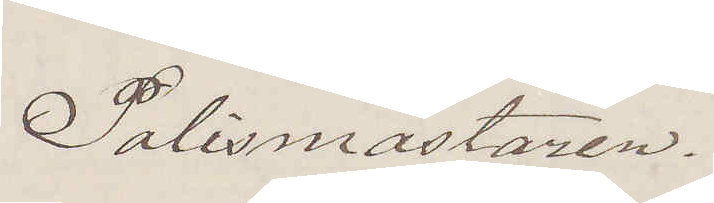Polismästaren.
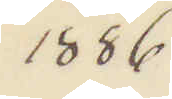1886
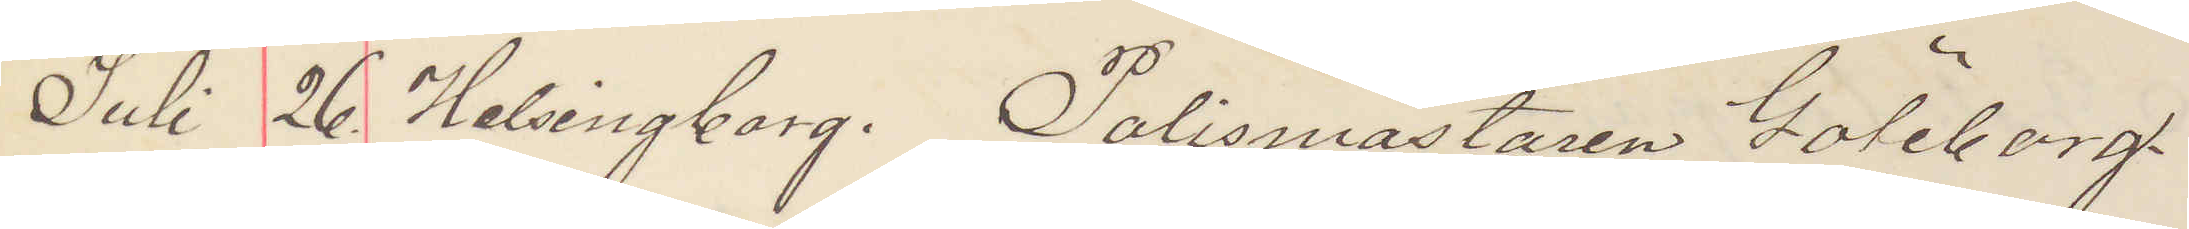Juli 26. Helsingborg. Polismästaren Göteborg.
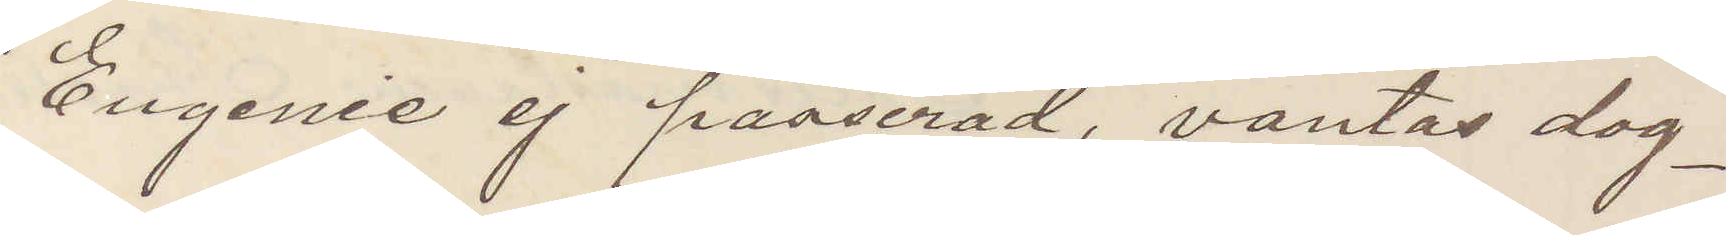Eugenie ej passerad, vantas dag¬
